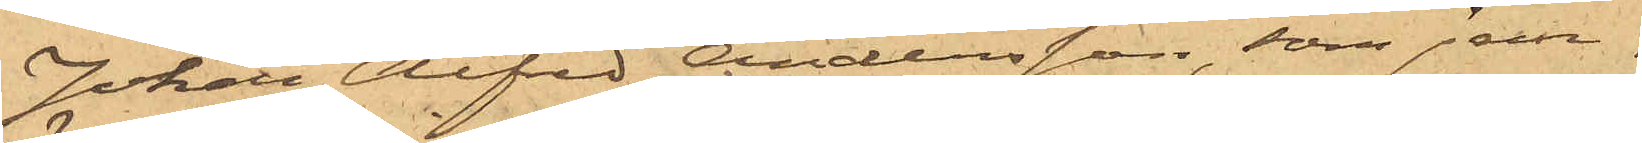Johan Alfred Andersson, som jem¬
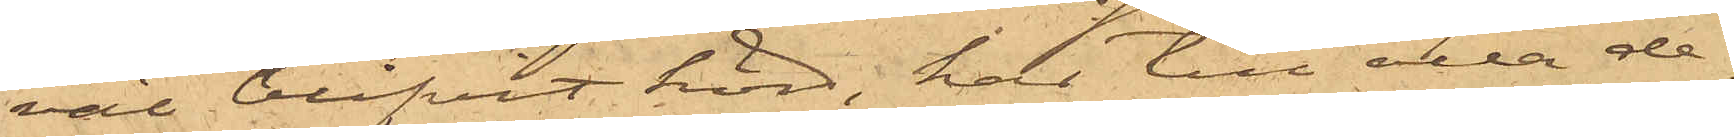väl blifvit hörd, har till alla de¬
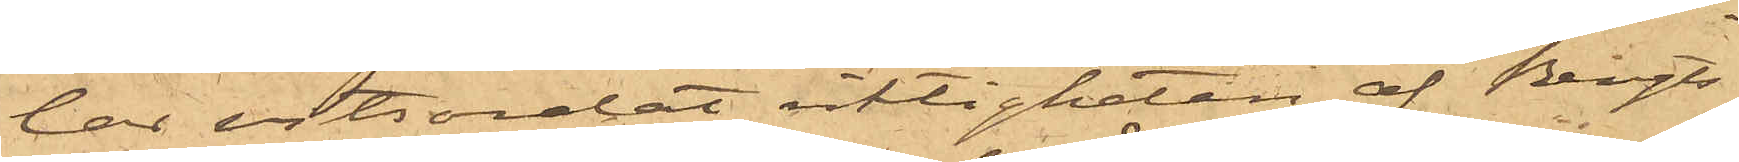lar vitsordat riktigheten af Bengts¬
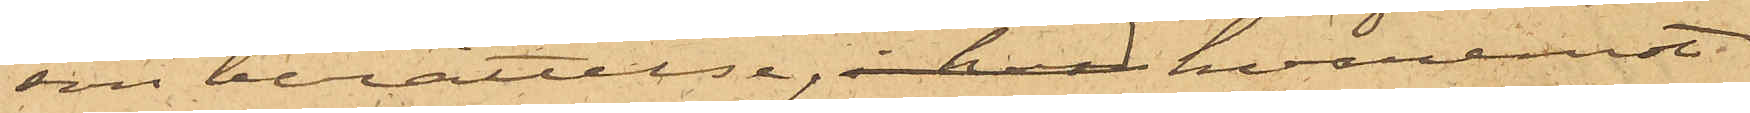sons berättelse, i hvad hvaremot
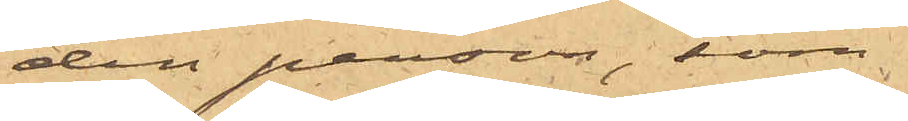den person, som
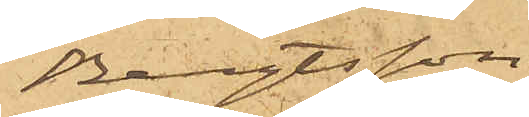Bengtsson
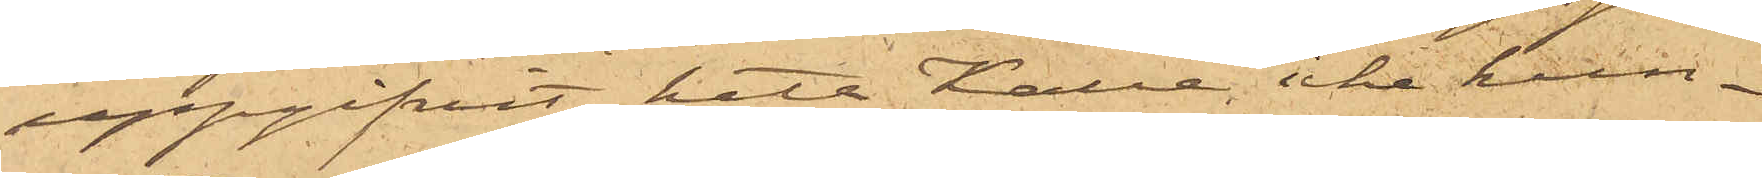uppgifvit heta Kalle, icke kun¬
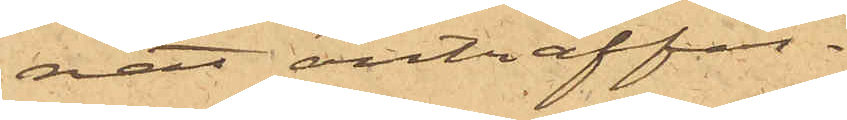nat anträffas.
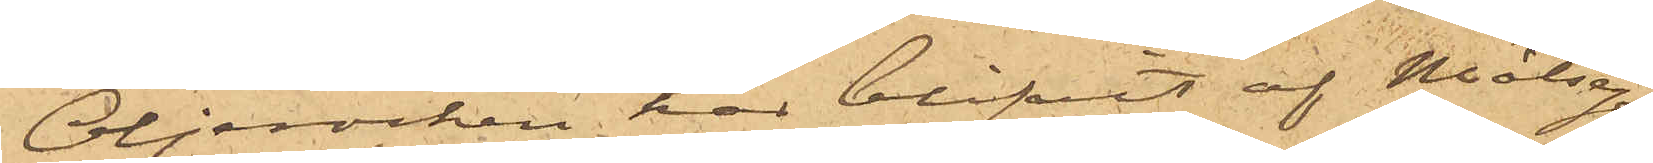Oljerocken har blifvit af Målsegaren
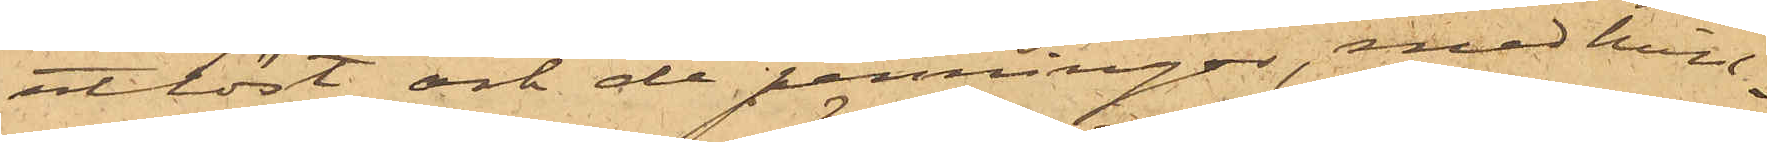utlöst och de penningar, med hvil¬
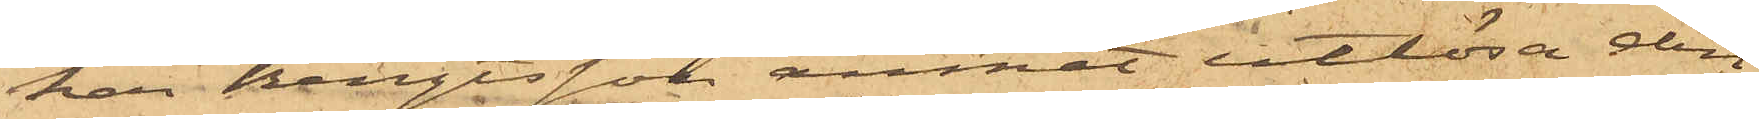ka Bengtsson ämnat utlösa den,
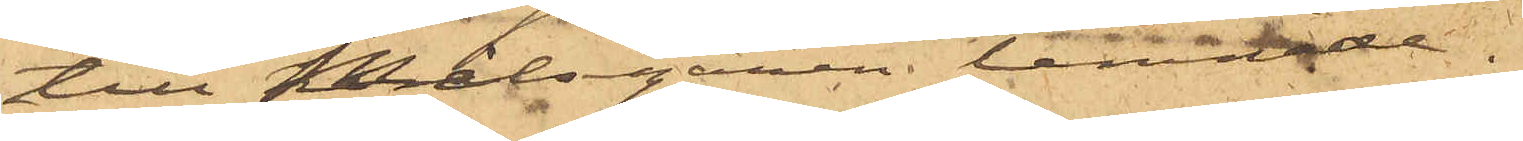till Målsegaren lämnade.
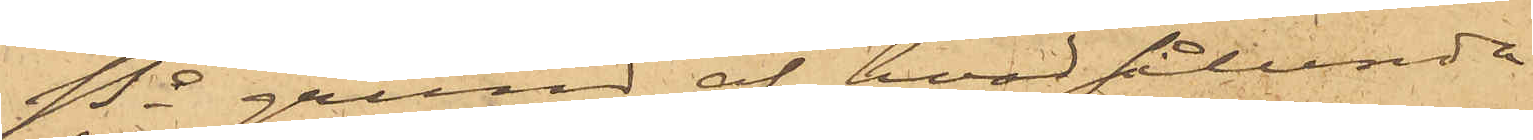På grund af hvad sålunda
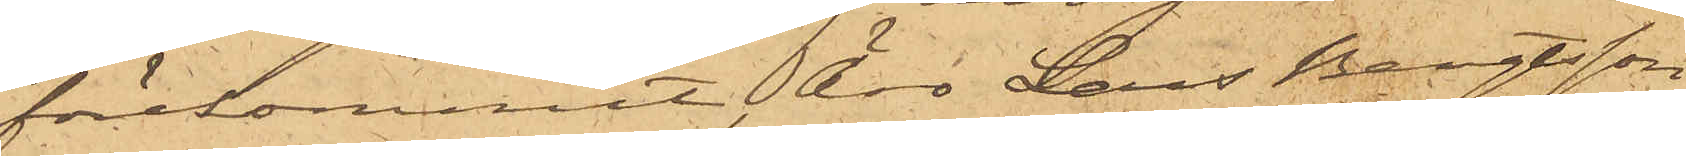förekommit, äro Lars Bengtsson
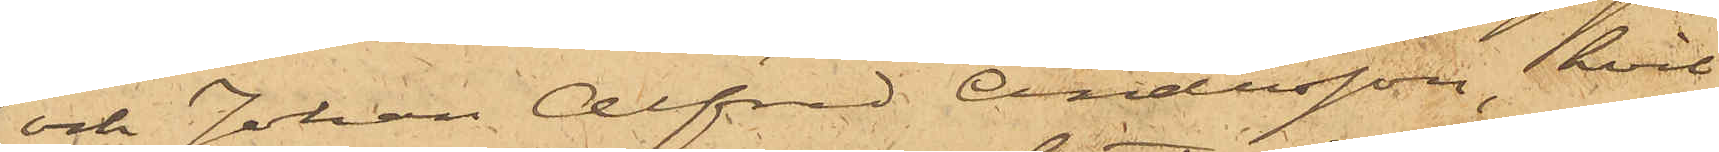och Johan Alfred Andersson, hvil¬
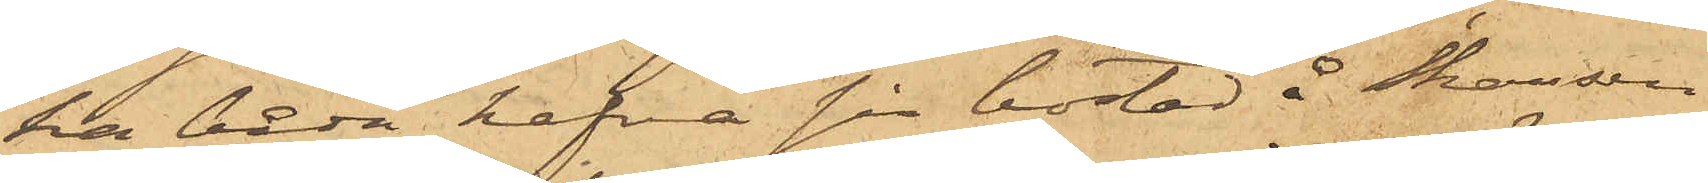ka båda hafva sin bostad å Skansen
